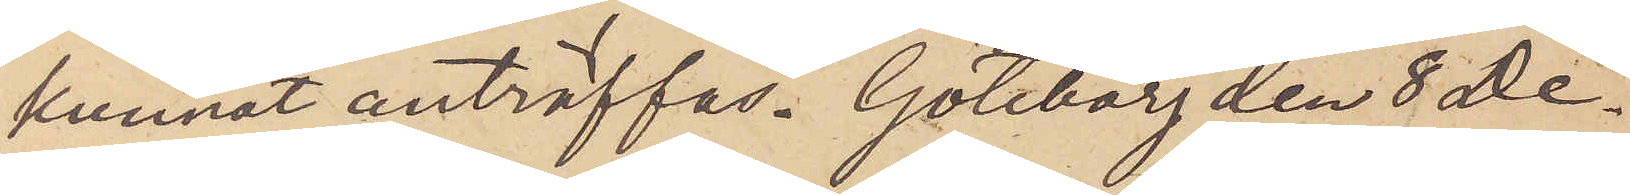kunnat anträffas. Göteborg den 8 De¬
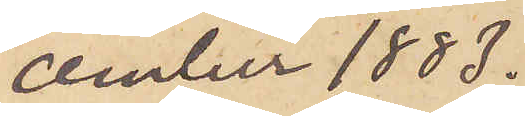ember 1883.
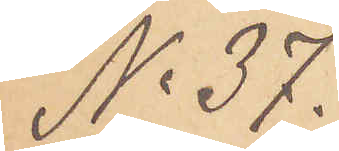No 37.
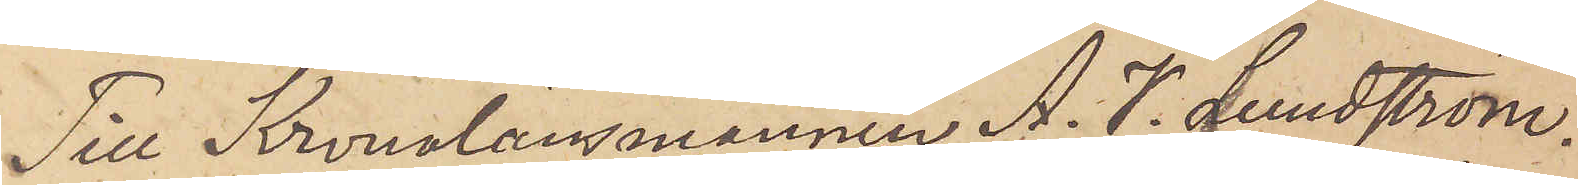Till Kronolänsmannen A. V. Lundström.
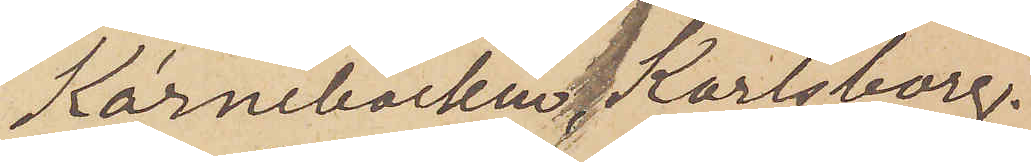Kärnebäcken Karlsborg.
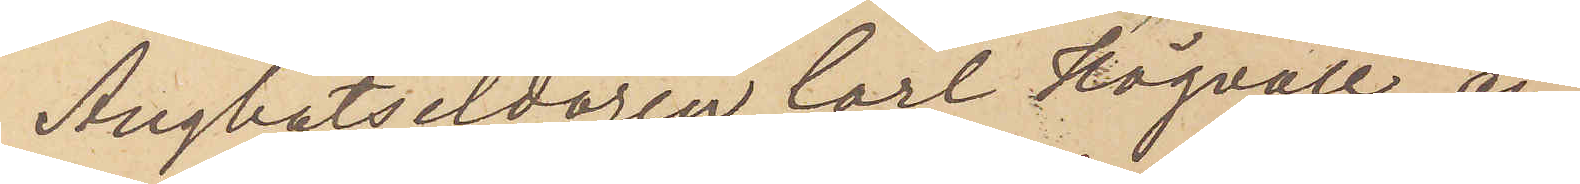Ängbåtseldaren Carl Högvall, an¬
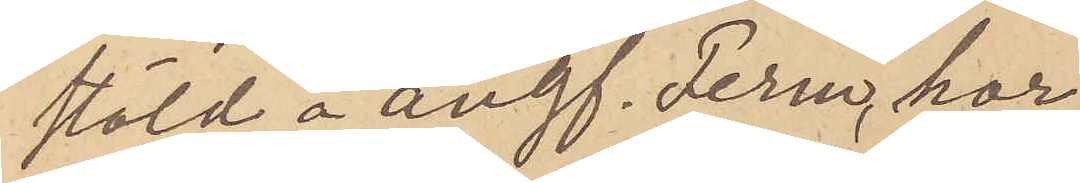stäld å ångf. Ferm, har
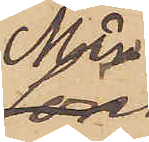Mån¬
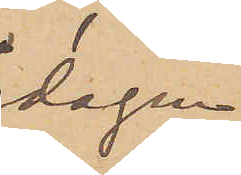dagen
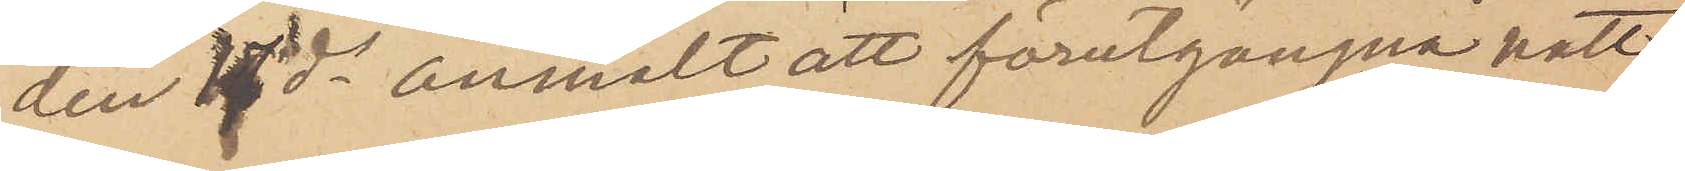den 17 ds anmält att förutgångne natt
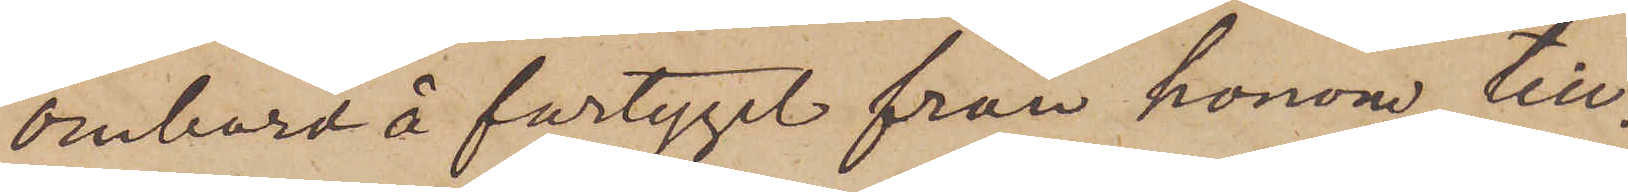ombord å fartyget från honom till¬
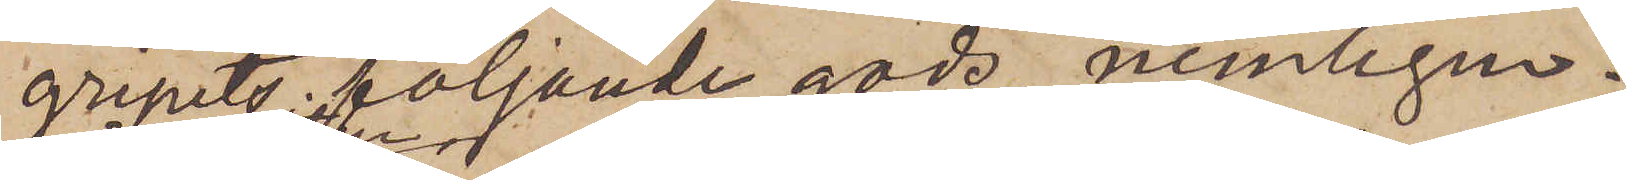gripits följande gods nemligen:
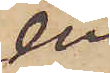en
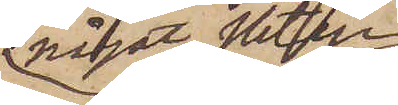något sliten
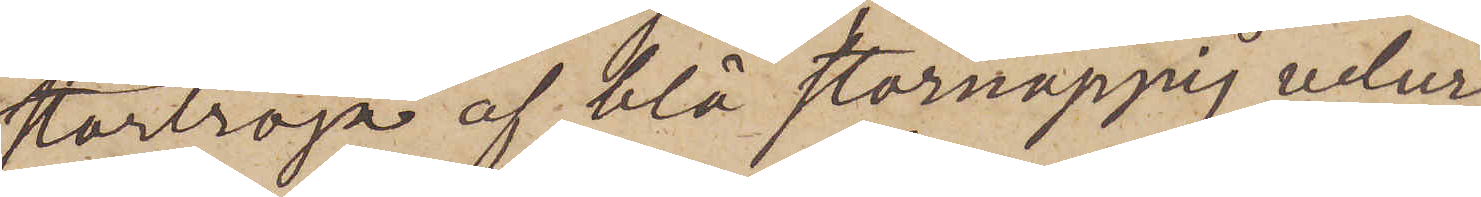stortröja af blå stornoppig velur
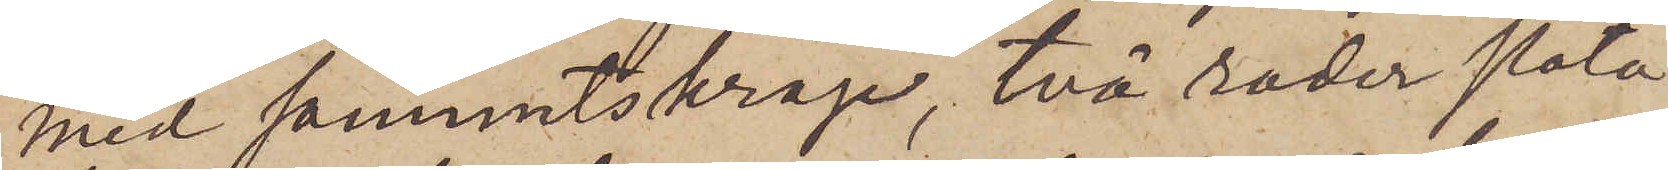med sammetskrage, två rader släta
